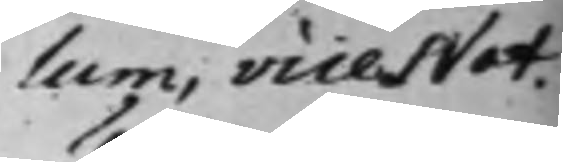lum, vice Not.
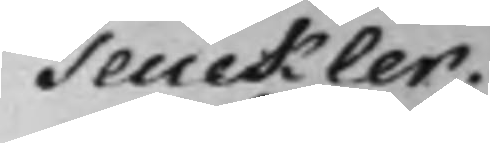Teuckler.
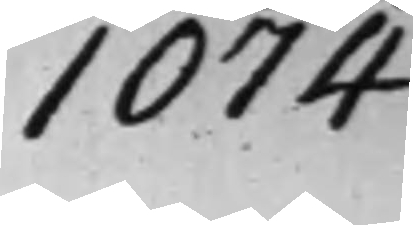1074
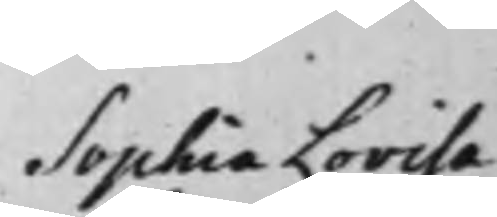Sophia Lovisa
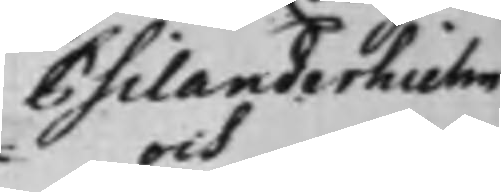Psilanderhielm
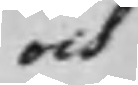och
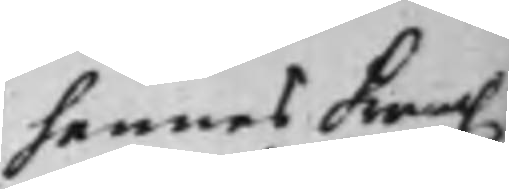hennes fram.
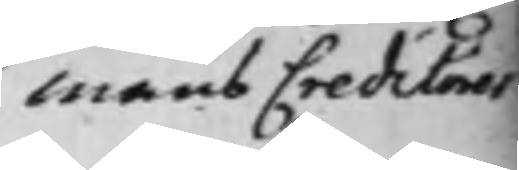mans Creditorer
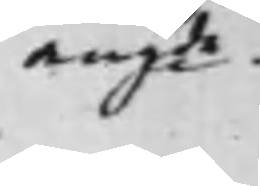angde.
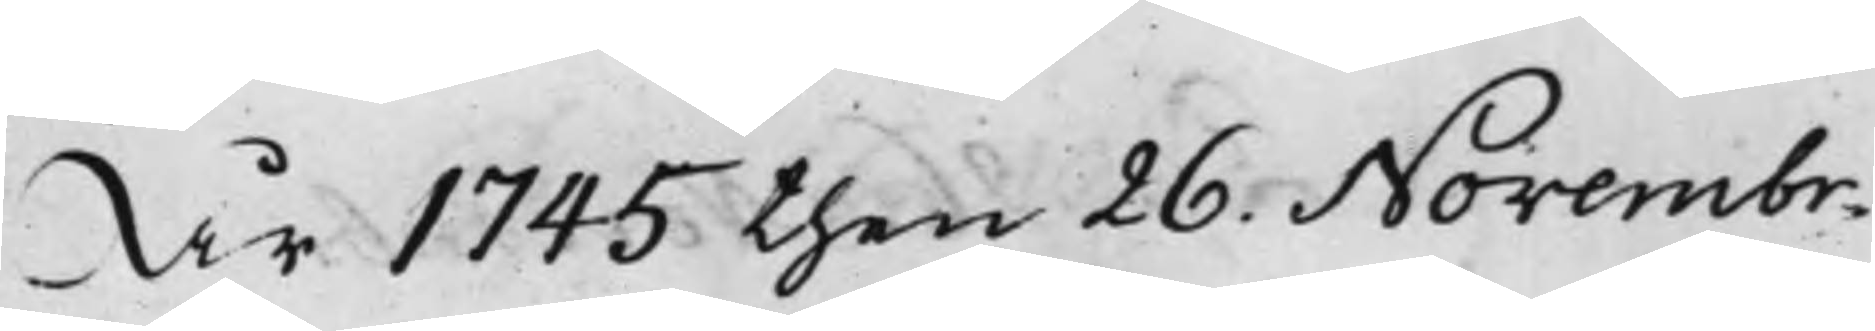År 1745 then 26. Novembr.
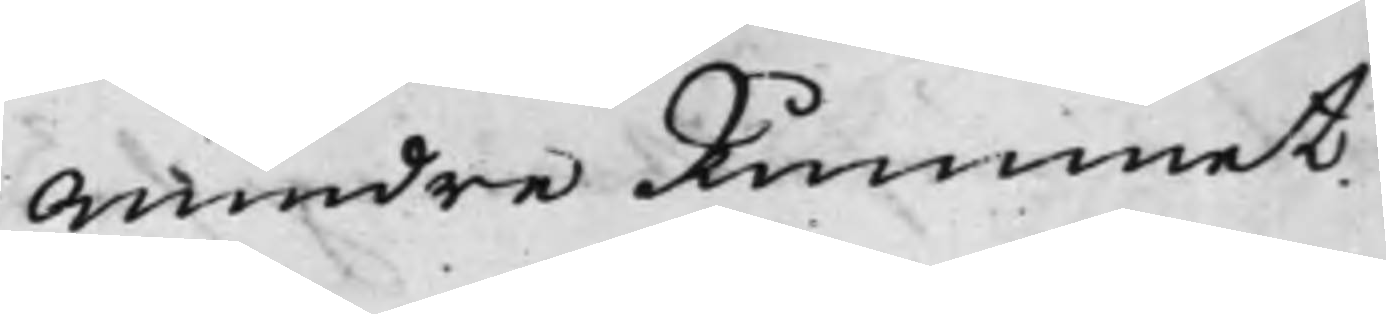Mindre Rummet,
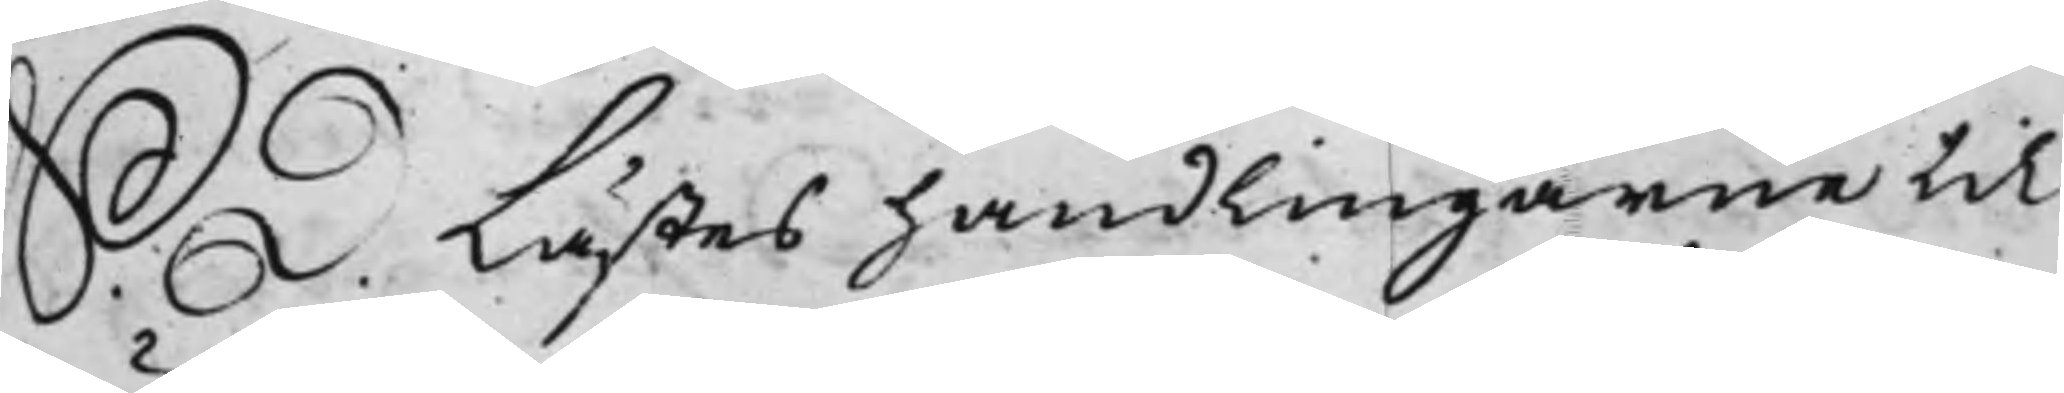S. D. Lästes handlingarne til
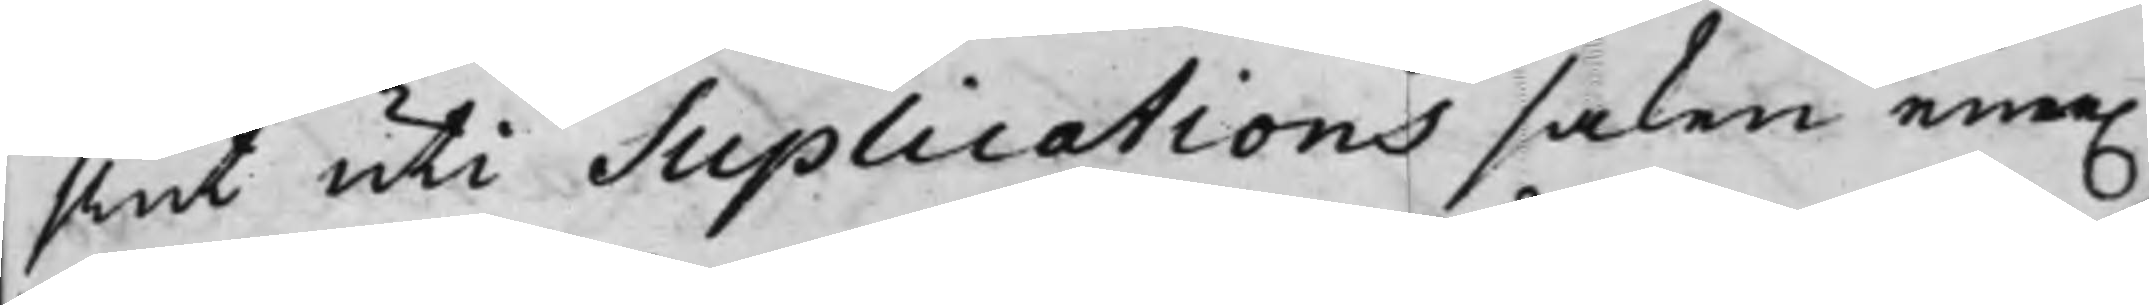slut uti Suplications saken eme.
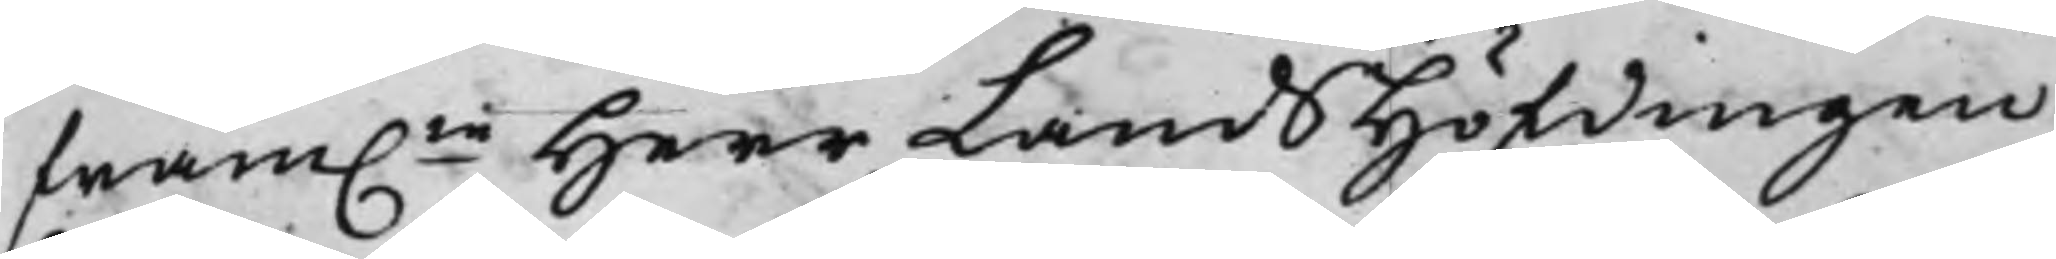fram.ne Herr LandsHöfdingen
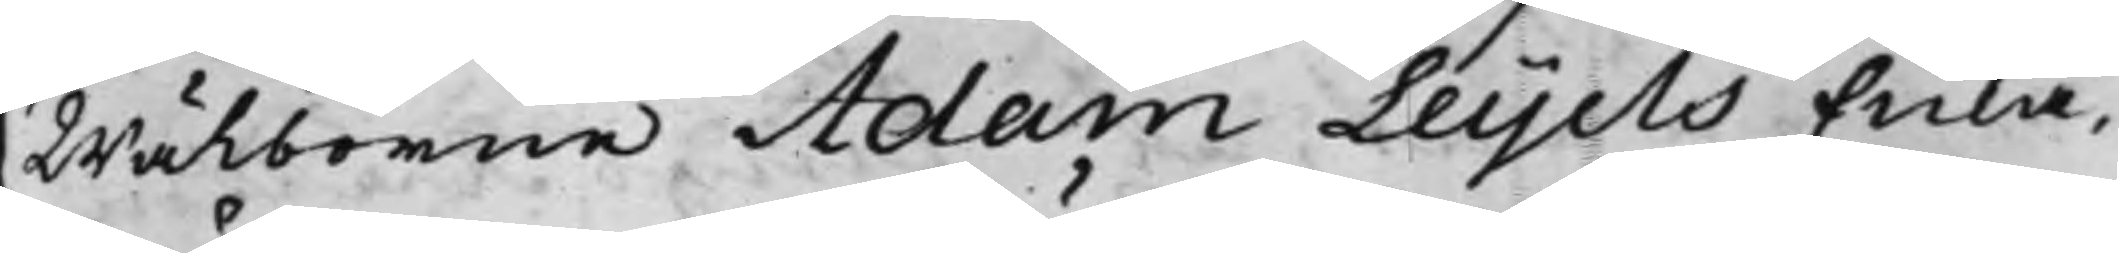Wälborne Adam Leijels Enka,
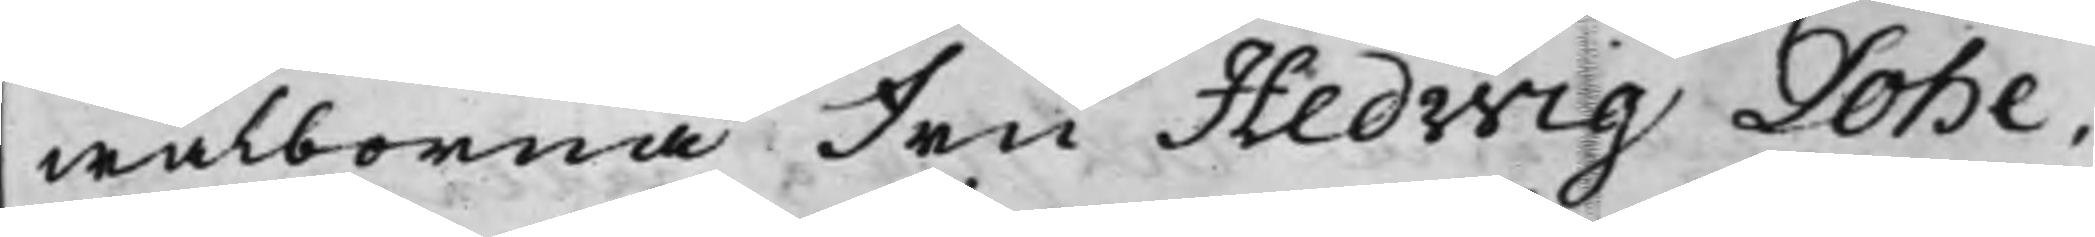wälborna Fru Hedwig Lohe,
